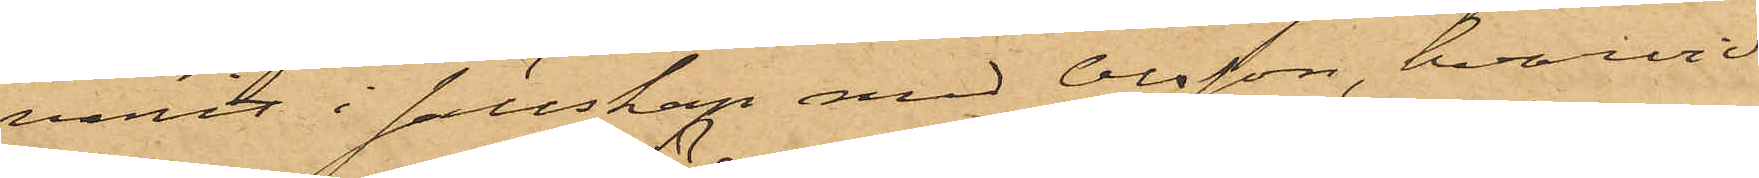varit i sällskap med Olsson, hvarvid
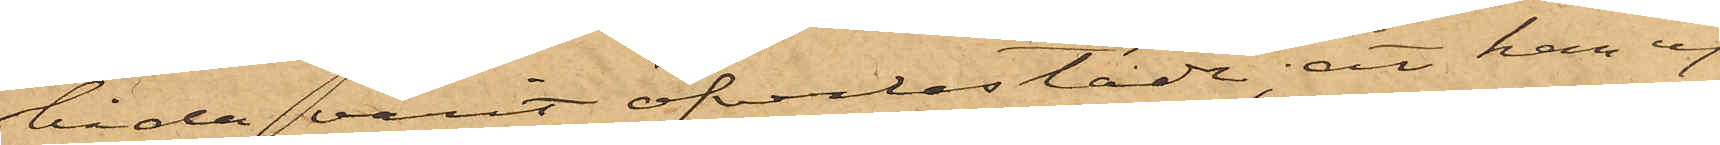båda varit öfverlastade; att han ej
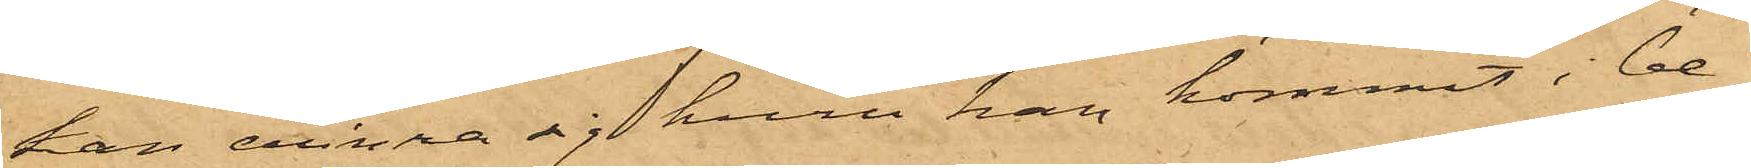han erinra sig huru han kommit i be¬
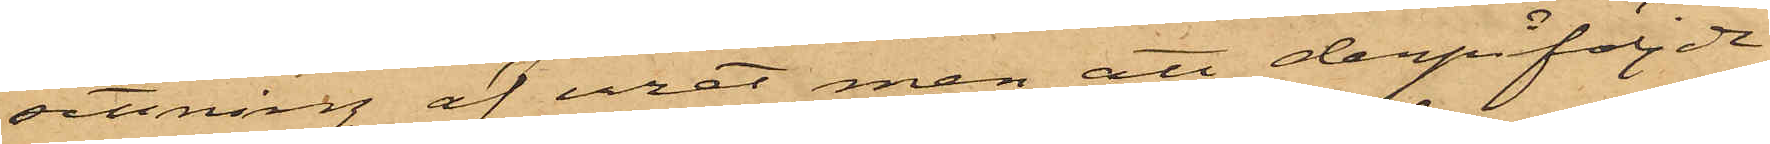sittning af uret, men att derpåföljde
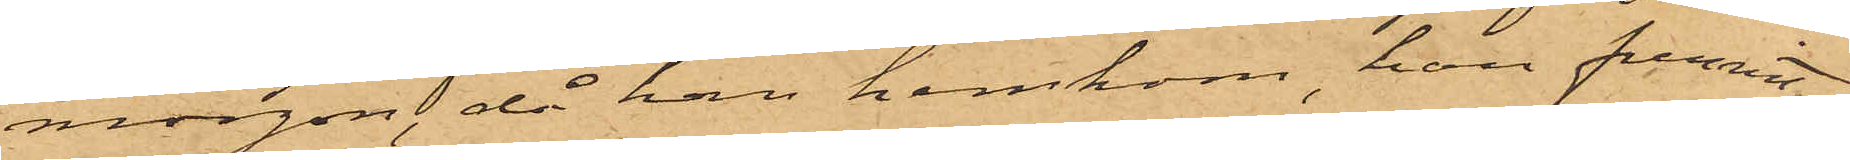morgon, då han hemkom, han funnit
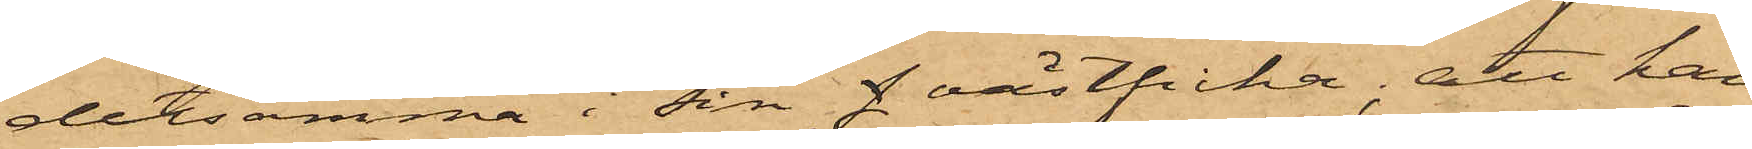detsamma i sin f västficka; att han
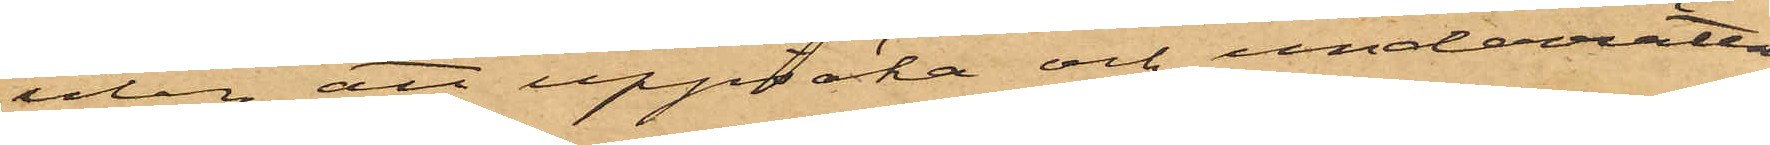utan att uppsöka och underrätta
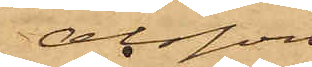Olsson
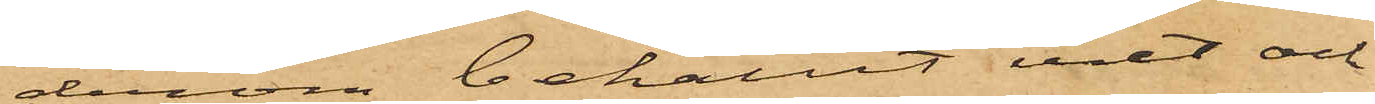derom behållit uret och
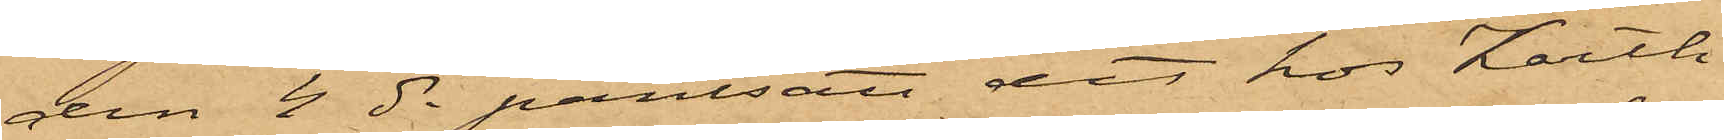den 4 ds pantsatt det hos Karth
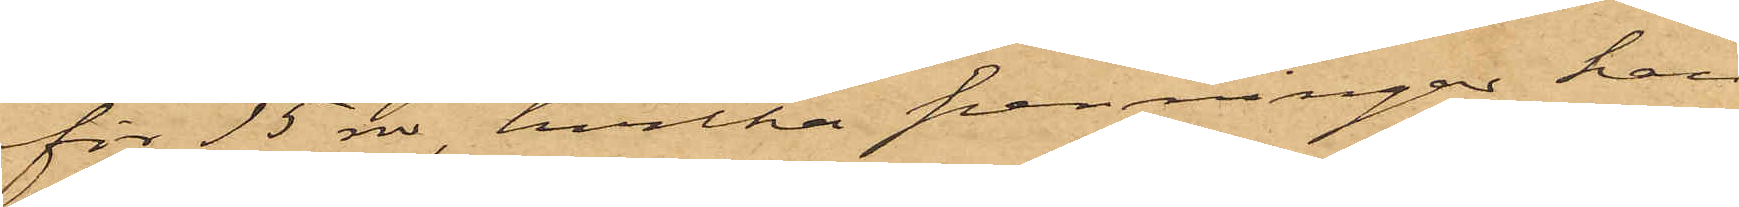för 15 rdr, hvilka penningar han
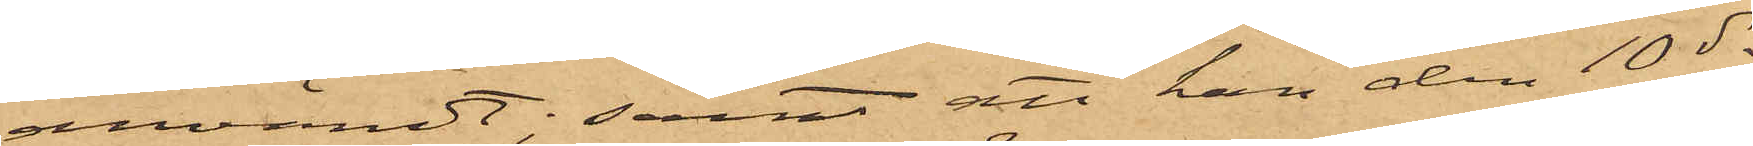användt; samt att han den 10 ds
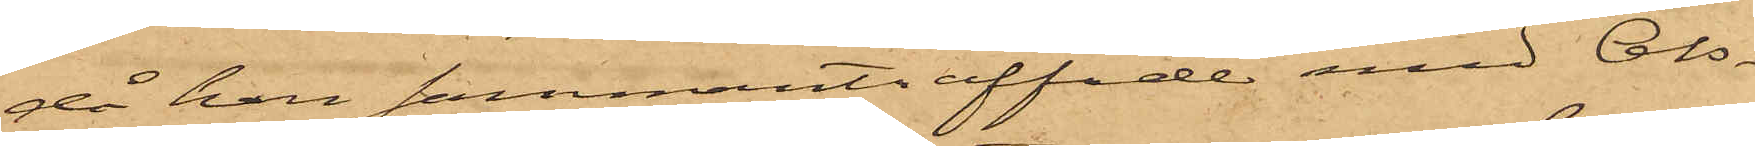då han sammanträffade med Ols¬
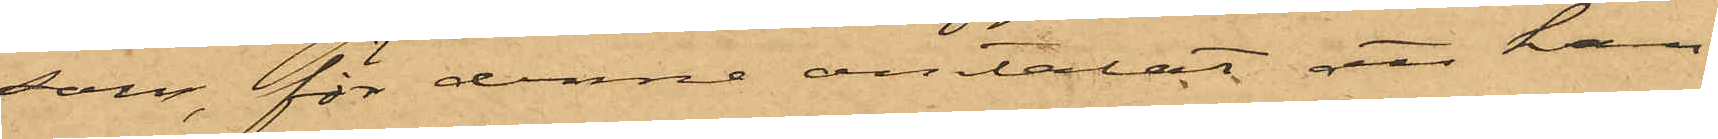son, för denne omtalat att han
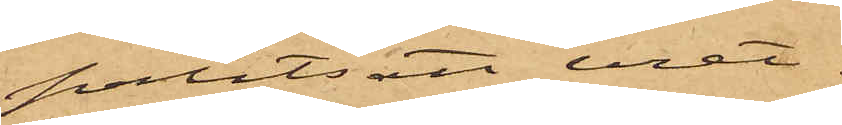pantsatt uret.
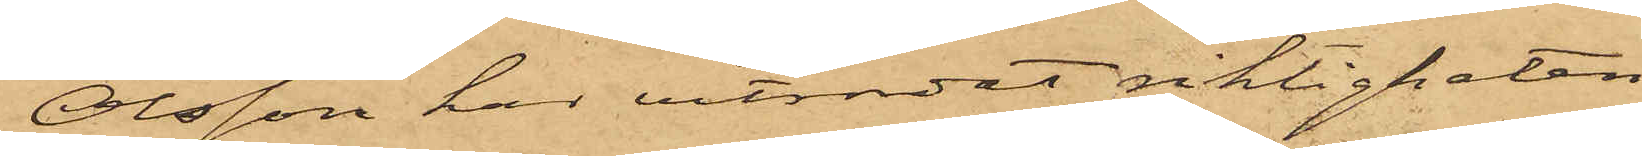Olsson har vitsordat riktigheten
